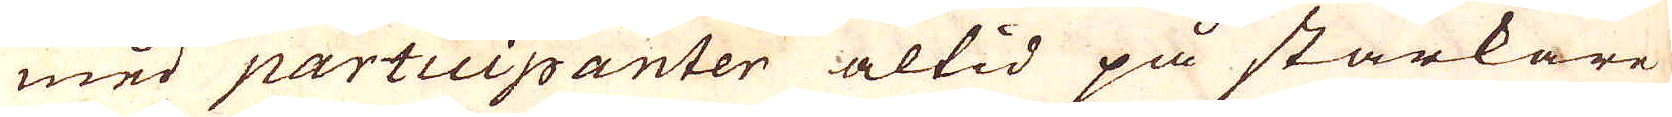med participanter altid på starkare
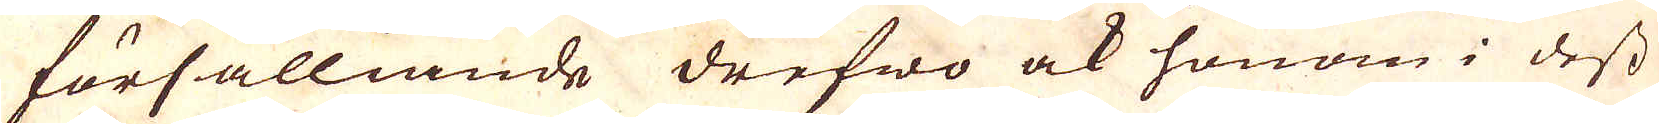försälliande drefwo ock honom i dess
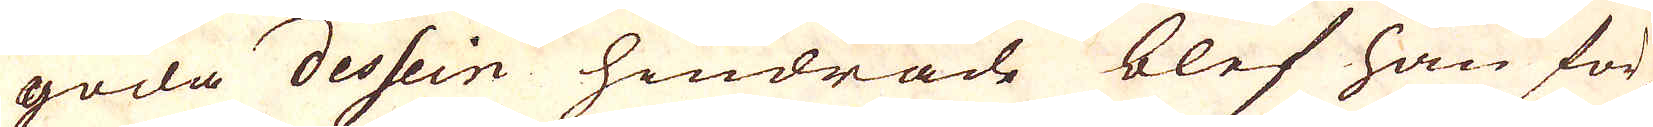goda dessein hindrade blef han för-
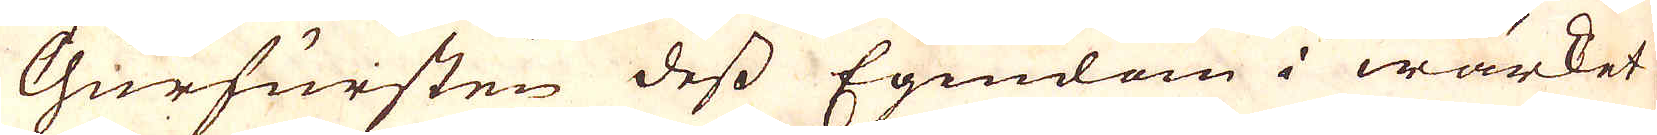Churfursten dess Egendom i wärket
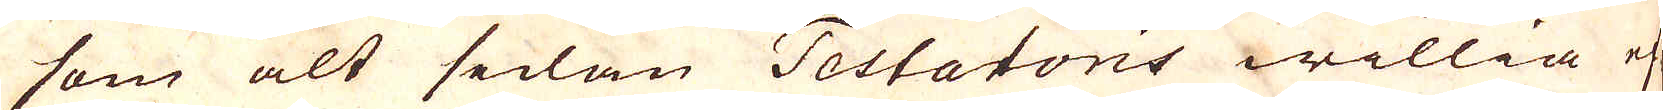som alt sedan Testatoris willia ef-
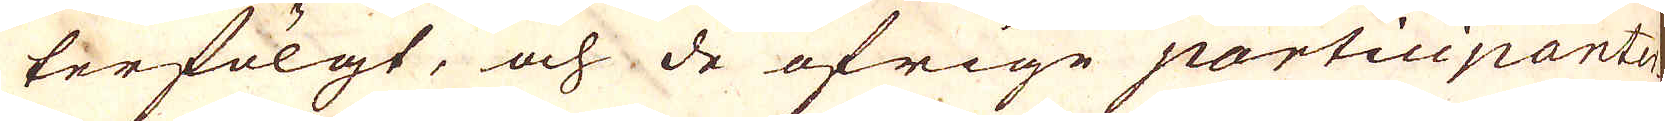terfölgt, och de öfrige participanter-
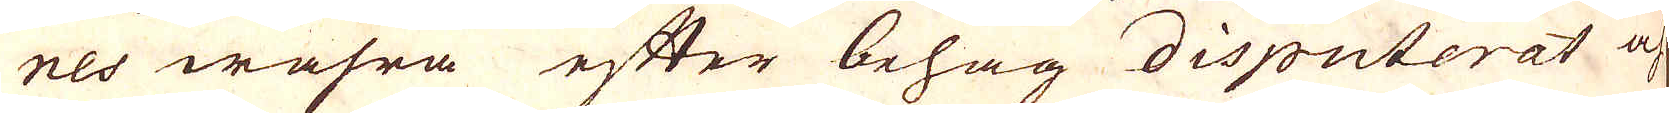nes wahra efter behag disputerat af
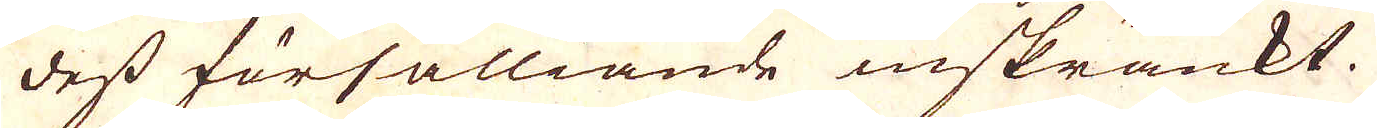dess försälliande inskränkt.
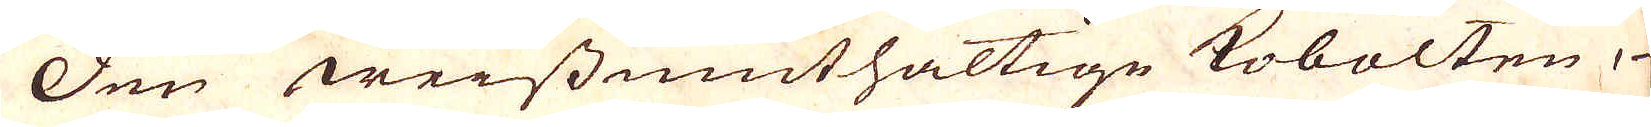Dun weissmuthaltige kobolten,
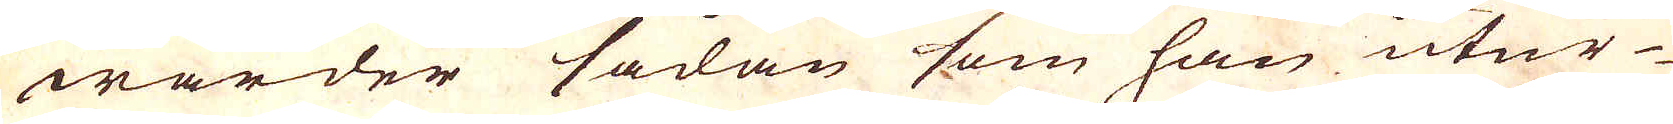warder sådan som han utur
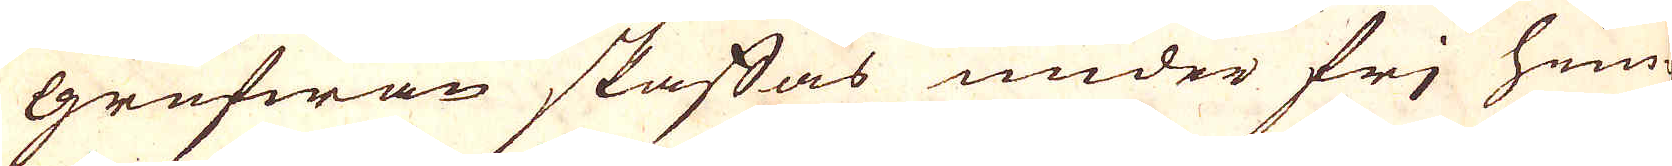Grufwan skaffas under frj him-
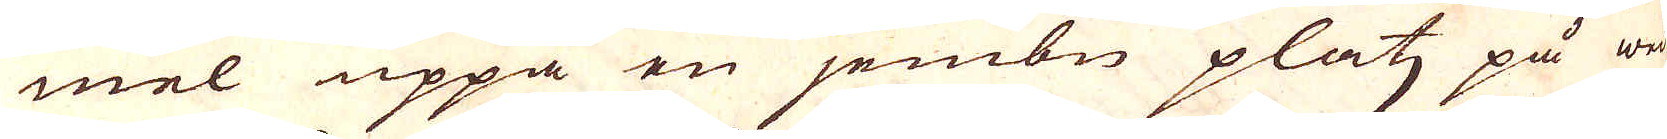mel uppå en jembn platz på we-
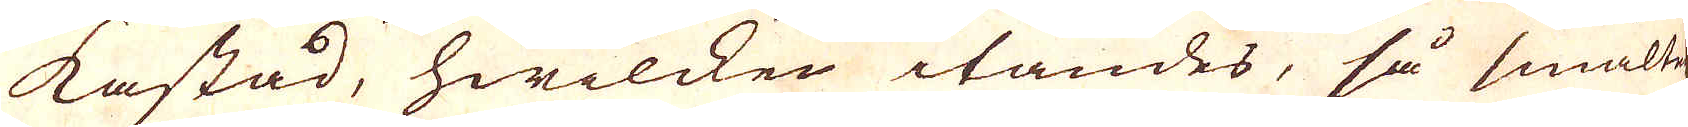kastad, hwilcken itändes, så smältes
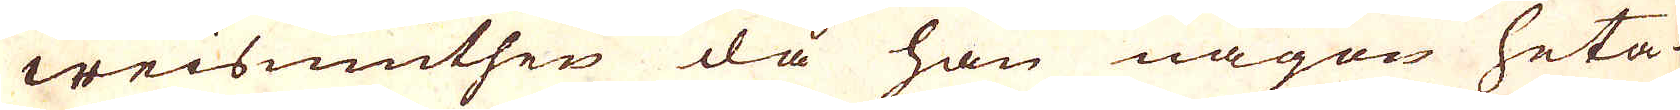weismuthen då han någon heta
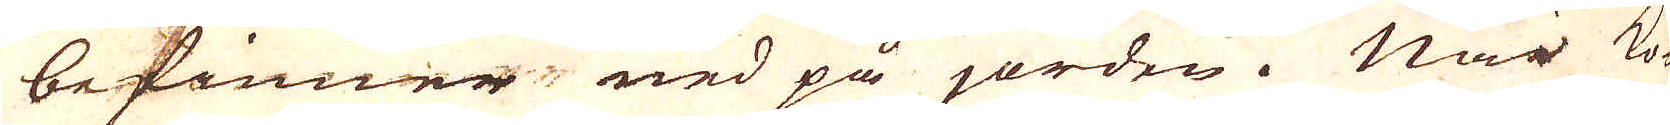befinner, ned på jorden. När ko-
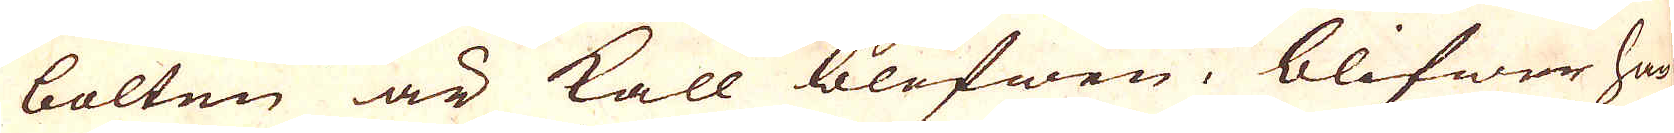bolten är kall blefwen, blifwer han
